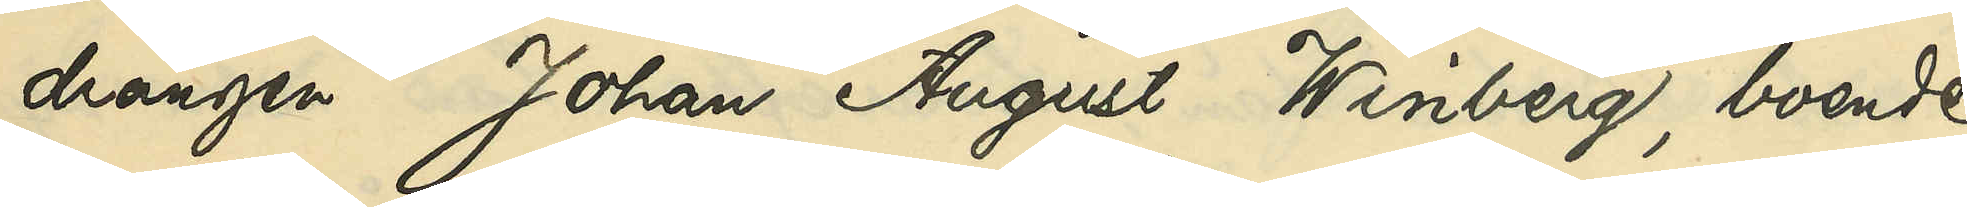drängen Johan August Winberg, boende
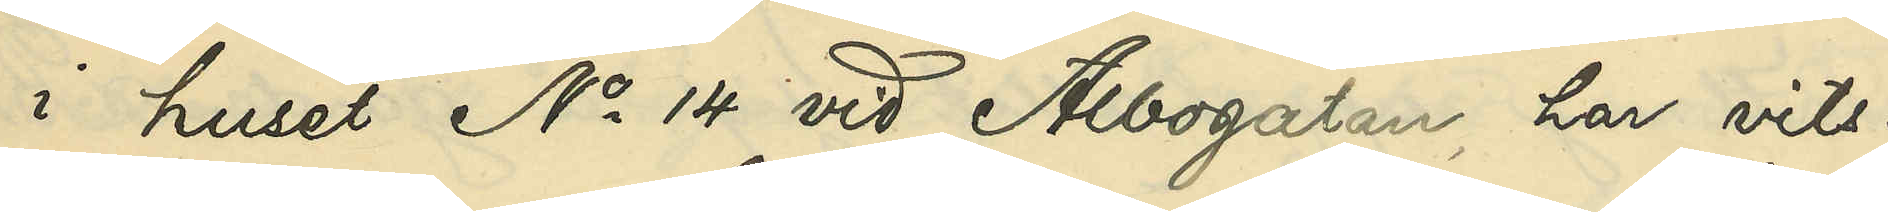i huset No 14 vid Albogatan, har vits¬
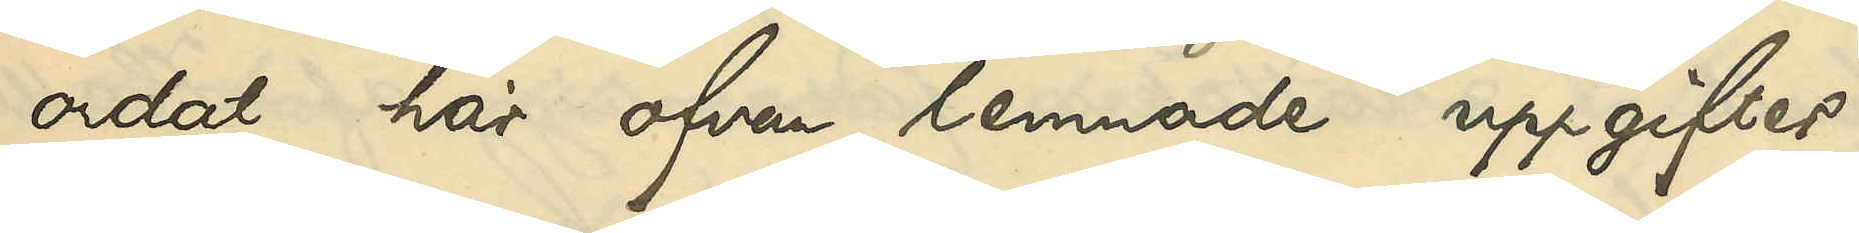ordat här ofvan lemnade uppgifter.
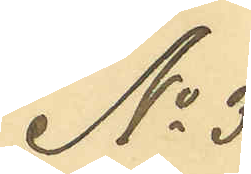No 3
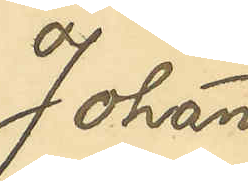Johan
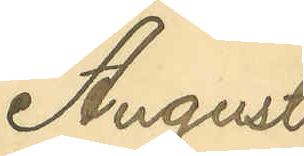August
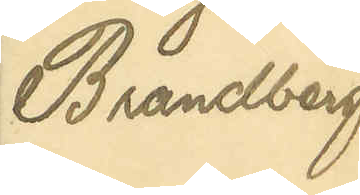Brandberg
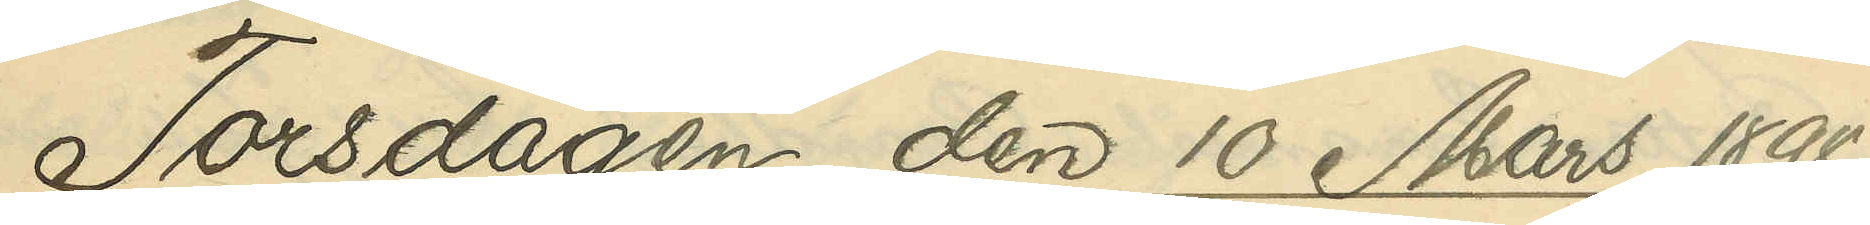Torsdagen den 10 Mars 1898.
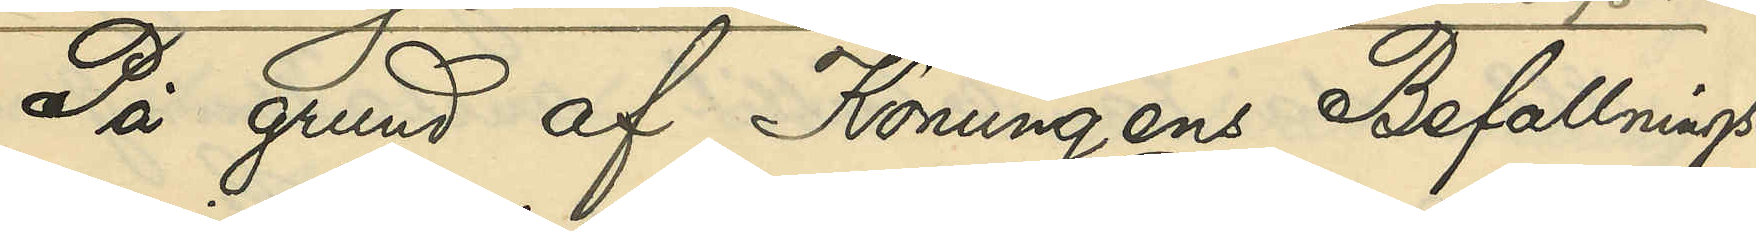På grund af Konungens Befallnings¬
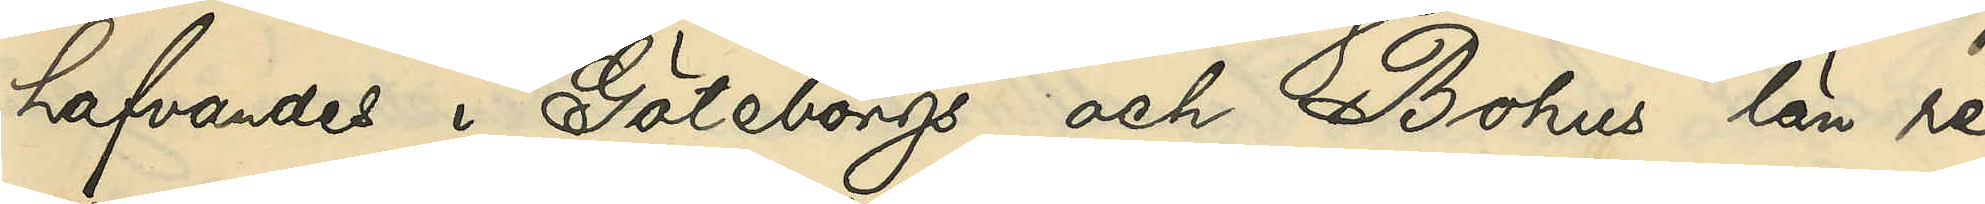hafvandes i Göteborgs och Bohus län re¬
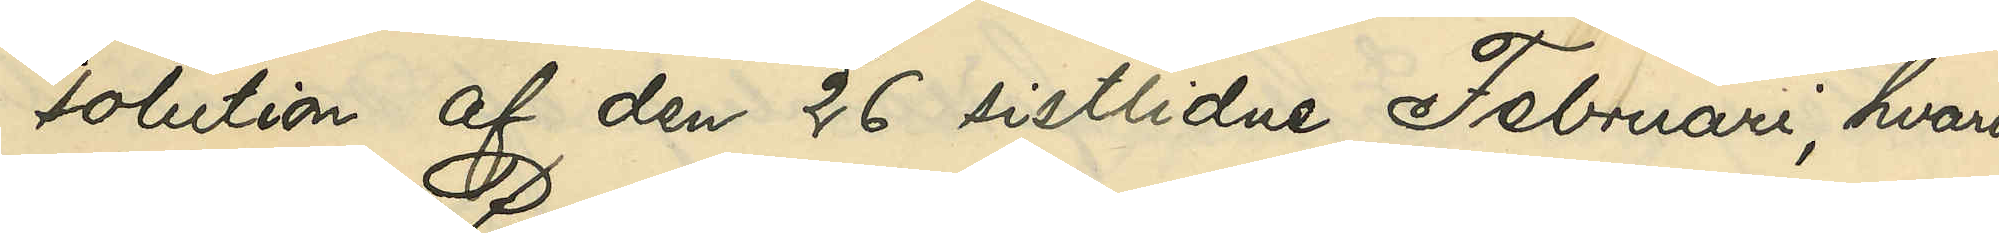solution af den 26 sistlidne Februari, hvari¬
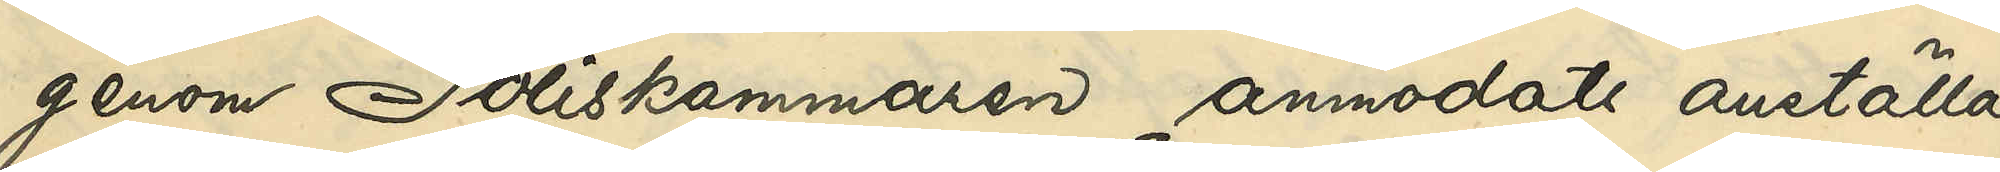genom Poliskammaren anmodats anställa
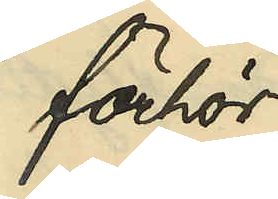förhör
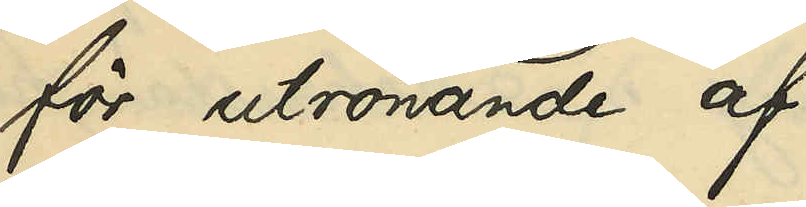för utrönande af
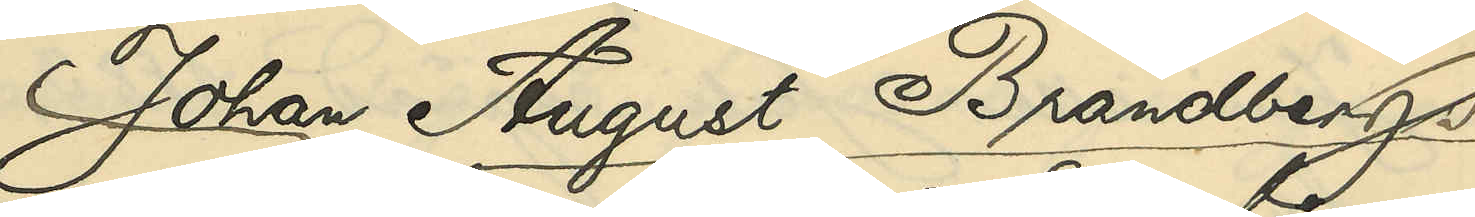Johan August Brandbergs
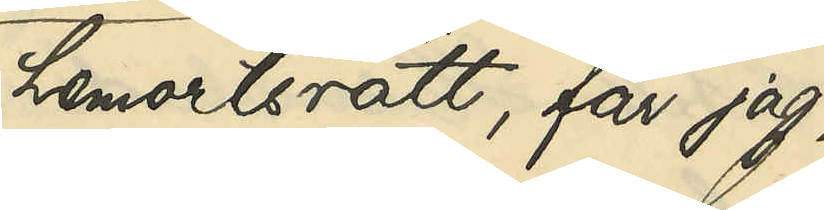hemortsrätt, får jag,
